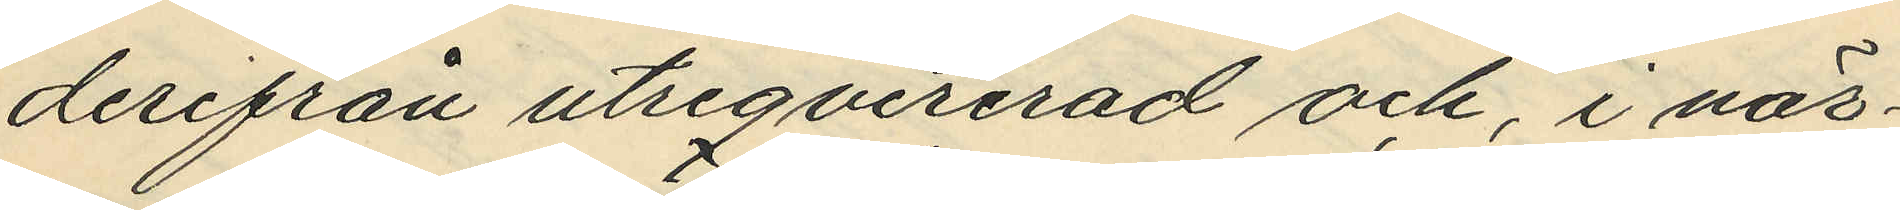derifrån utreqvirerad och, i när¬
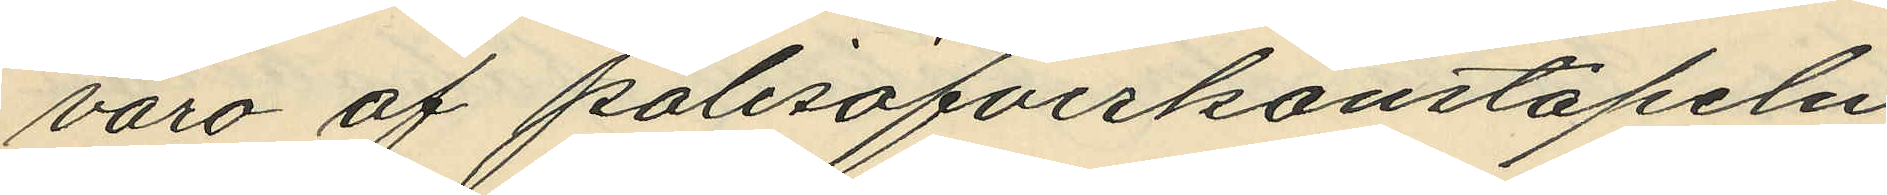varo af polisöfverkonstapeln
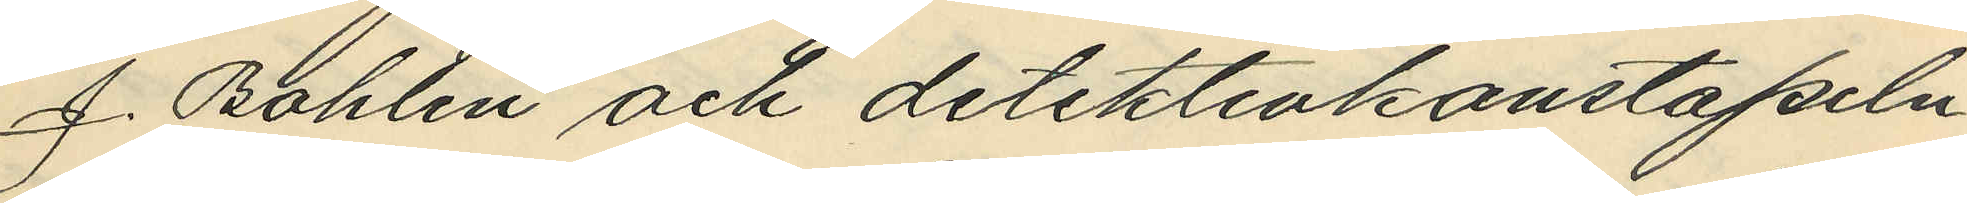J. Bohlin och detektivkonstapeln
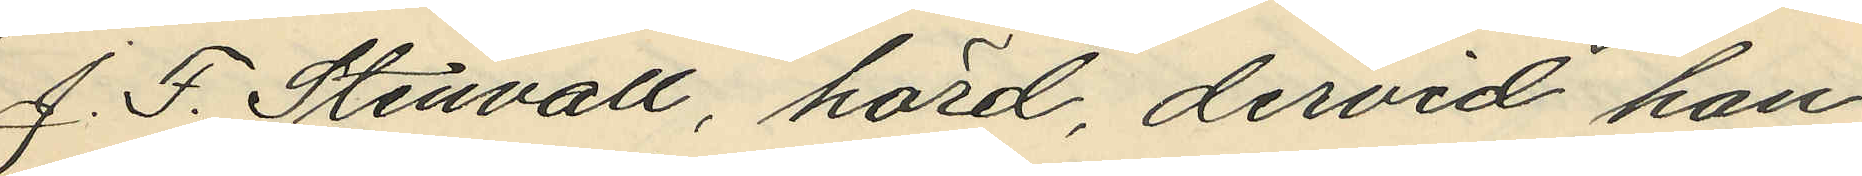J. F. Stenvall, hörd, dervid han
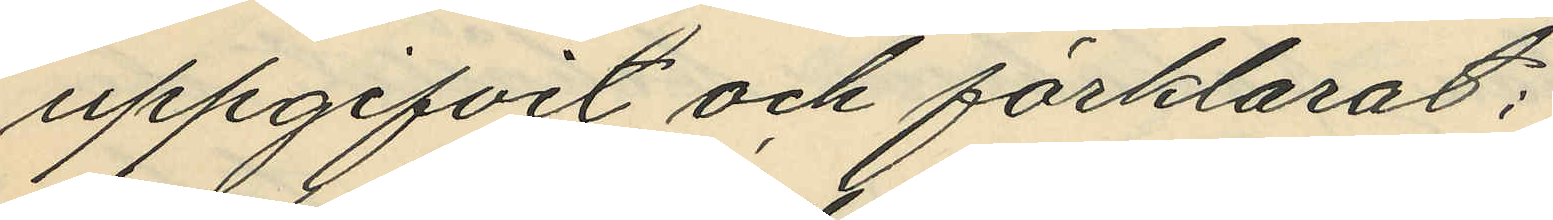uppgifvit och förklarat,
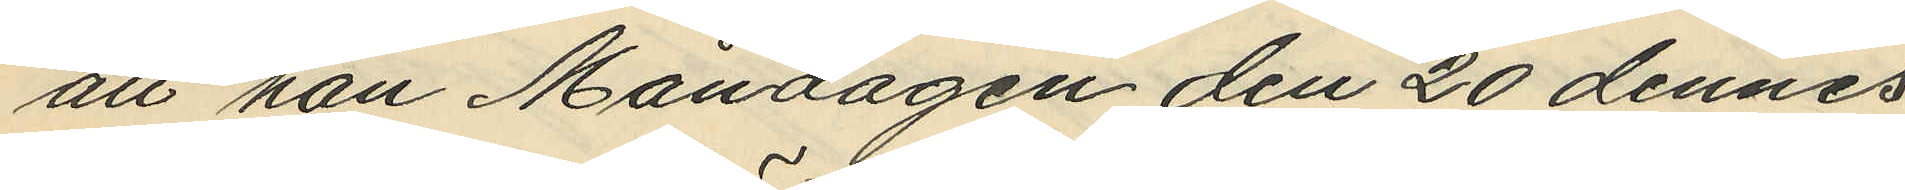att han Måndagen den 20 dennes
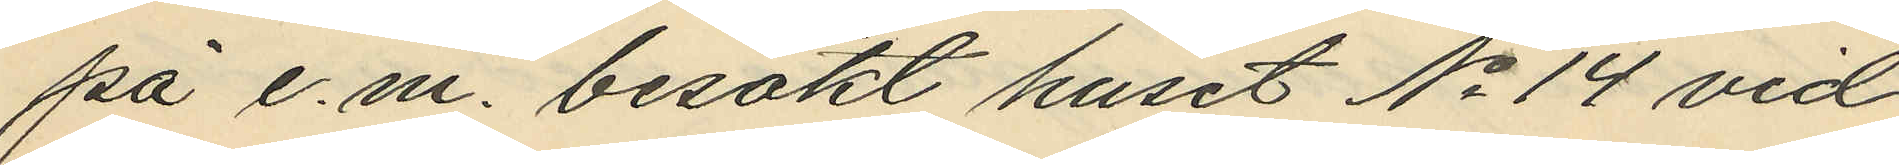på e. m. besökt huset No 14 vid
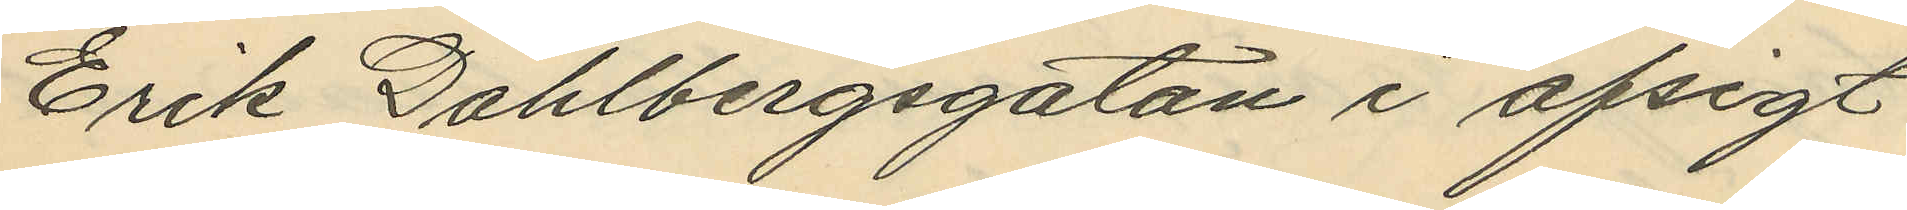Erik Dahlbergsgatan i afsigt
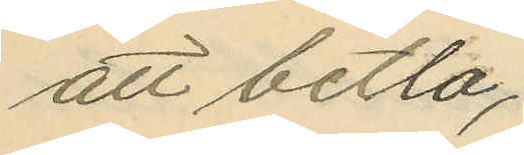att betla;
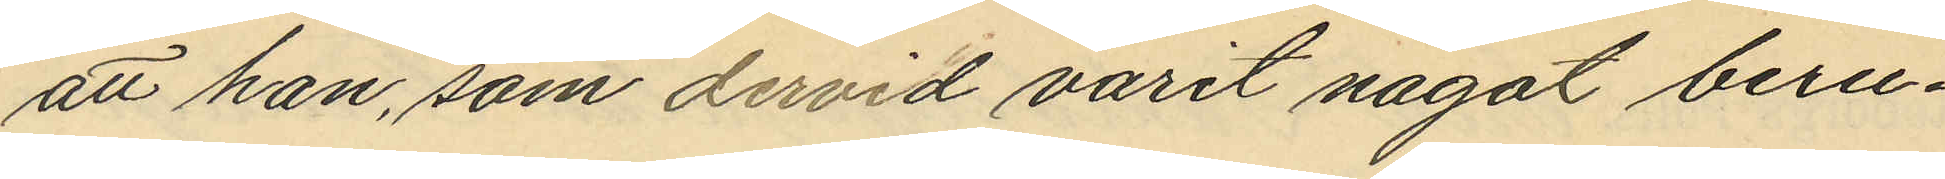att han, som dervid varit något beru¬
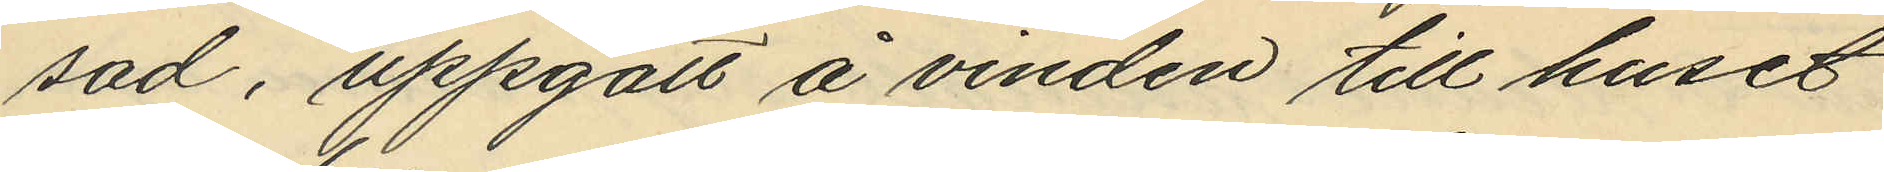sad, uppgått å vinden till huset
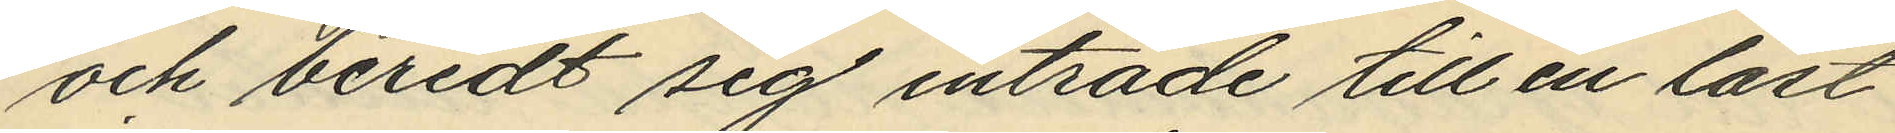och beredt sig inträde till en låst
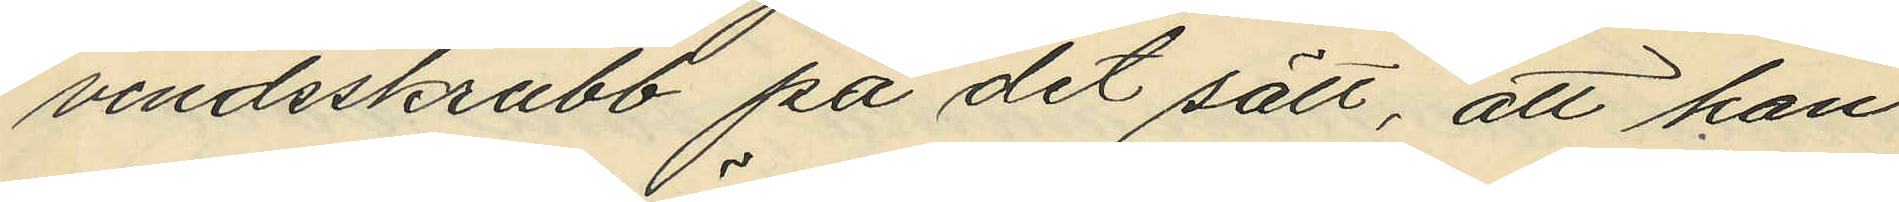vindsskrubb på det sätt, att han
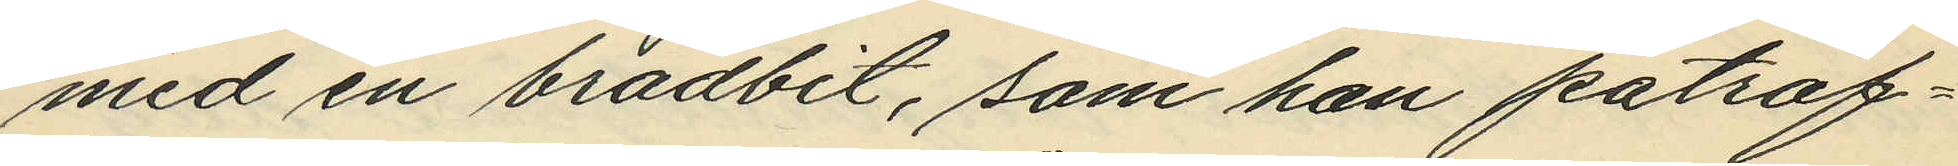med en brädbit, som han påträf¬
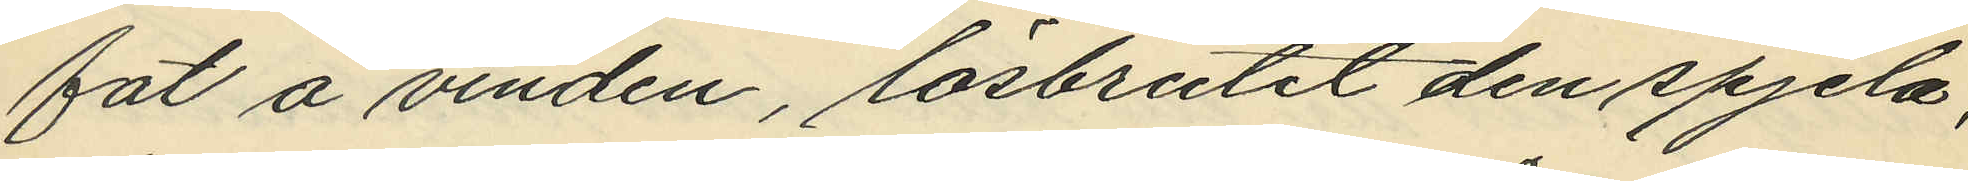fat å vinden, lösbrutit den spjela,
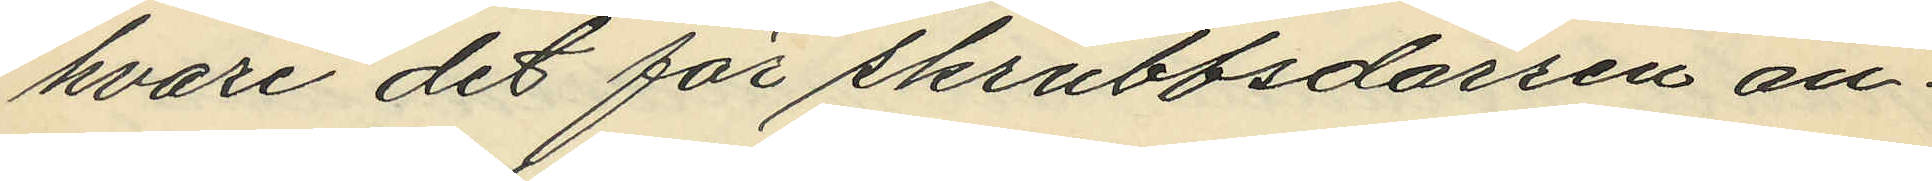hvari det för skrubbsdörren an¬
